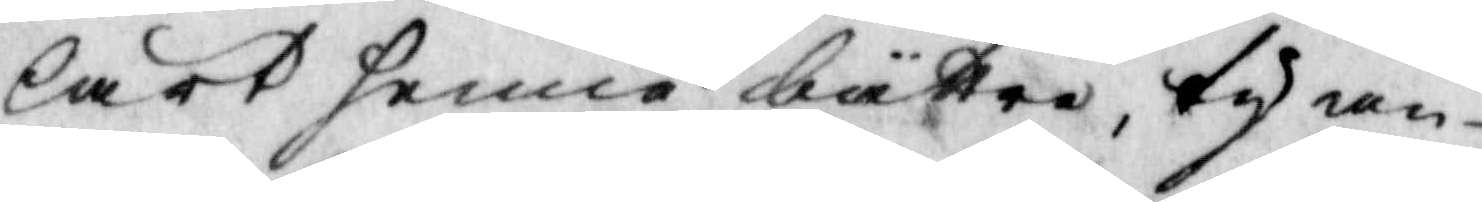lärt henne bättre, ty an¬
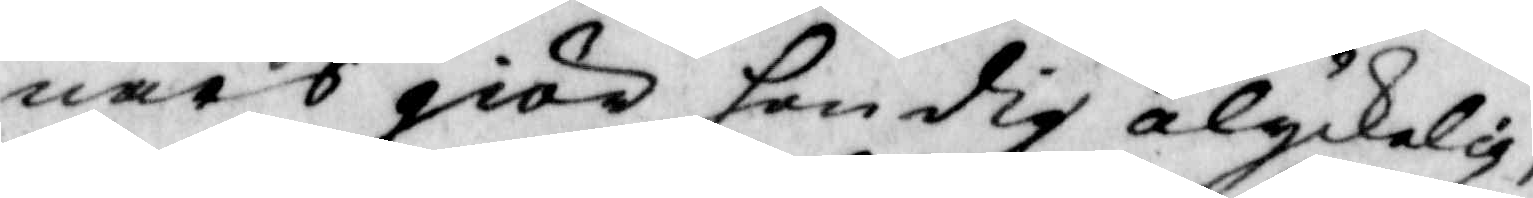nars giör hon dig olyckelig,
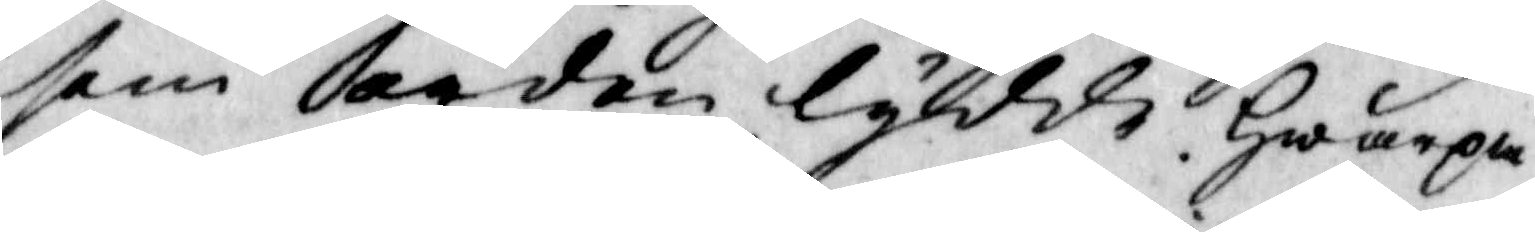som orden lydde. Hwar på
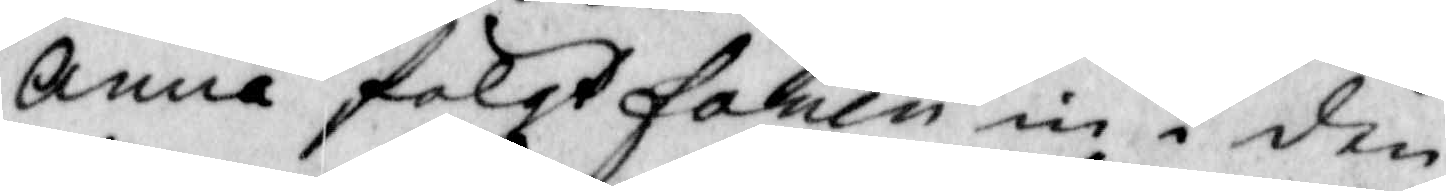Anna fölgt fanen in i den
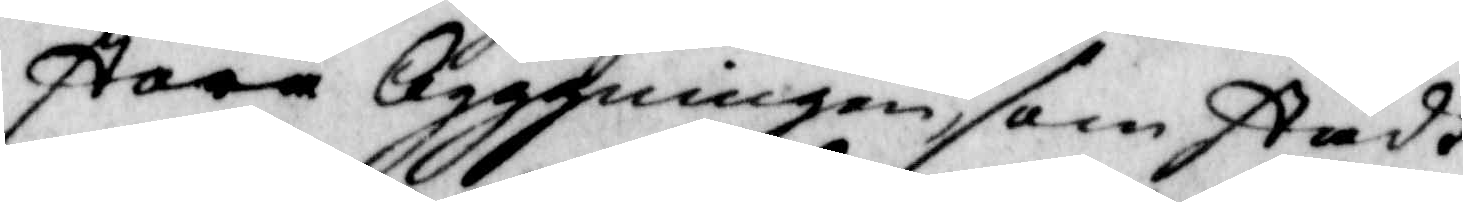stora Byggningen, som stådt
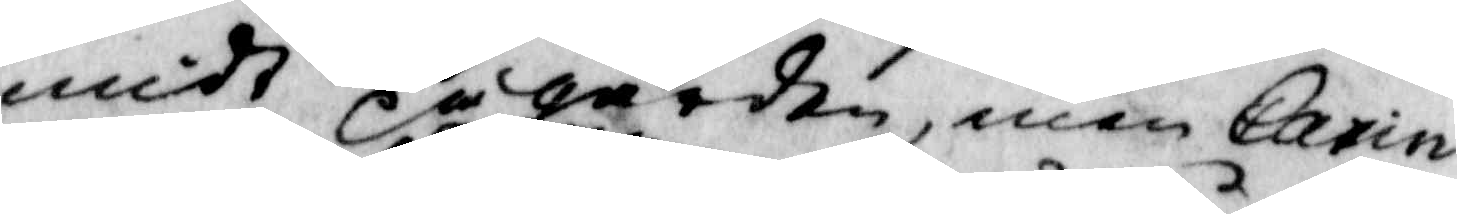midt på gården, men Carin
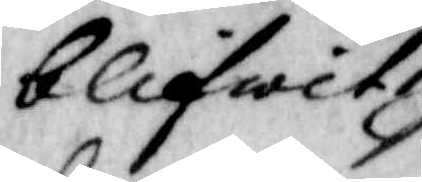blifwit
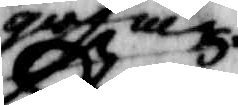qwar
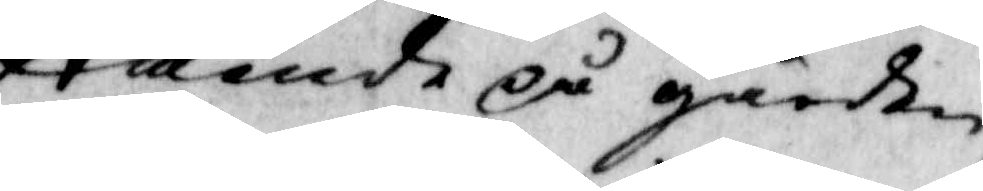ståendes på gården,
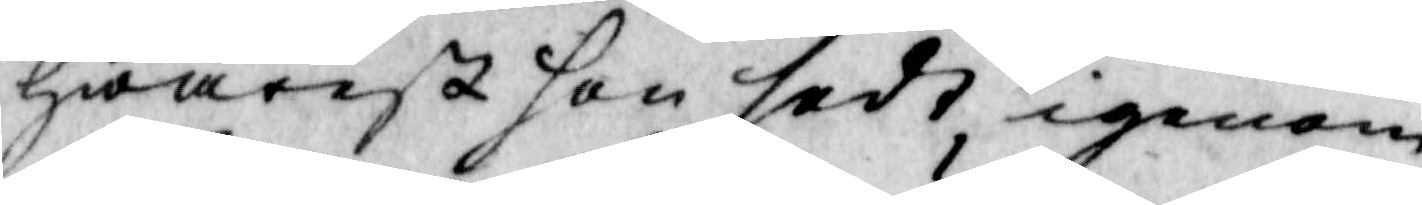hwarest hon sedt igenom
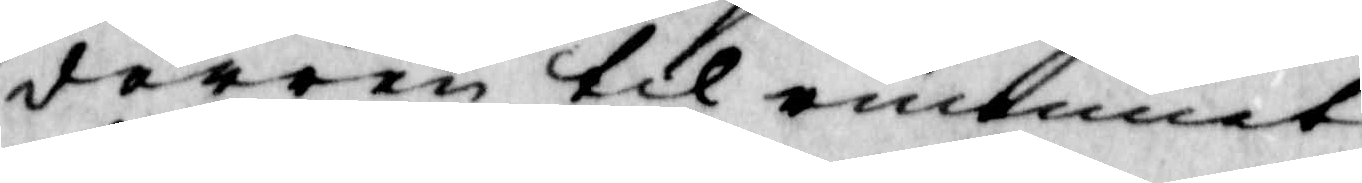dörren til rummet
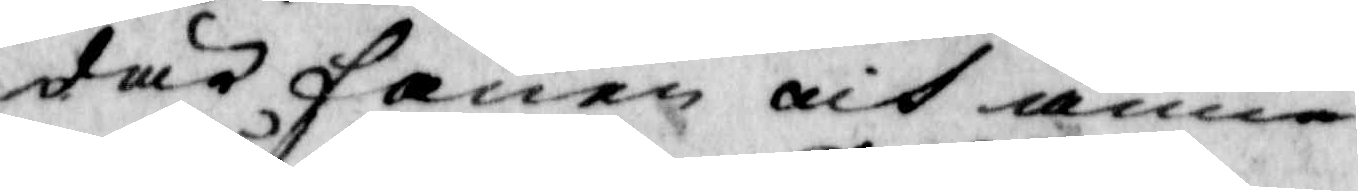där fanen och Anna
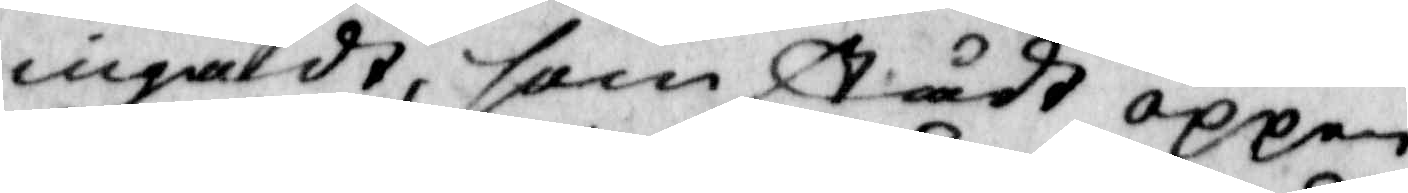ingådt, som stådt öppen,
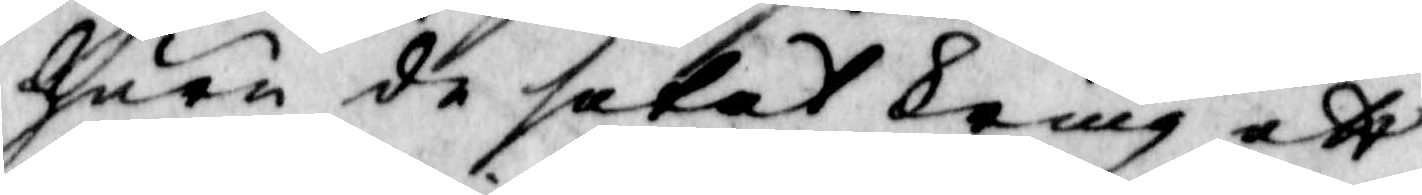huru de setat kring ett
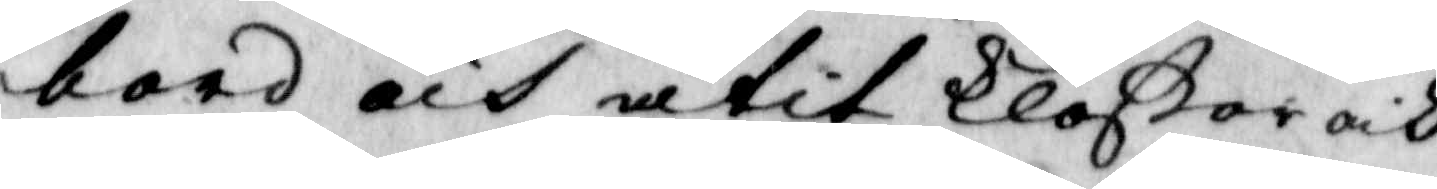bord och ätit kloßar och
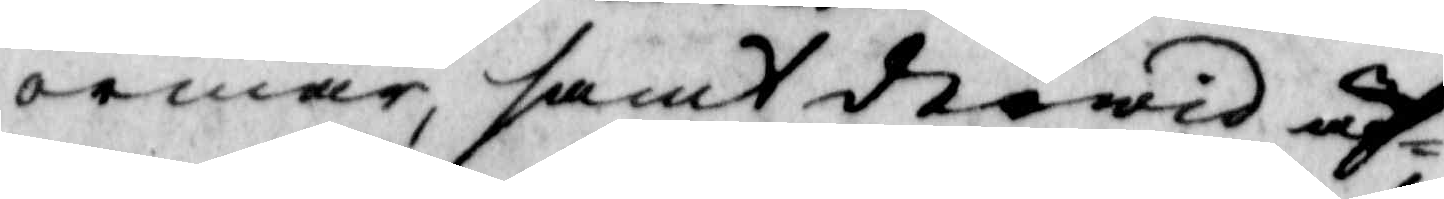ormar, samt derwid äf¬
